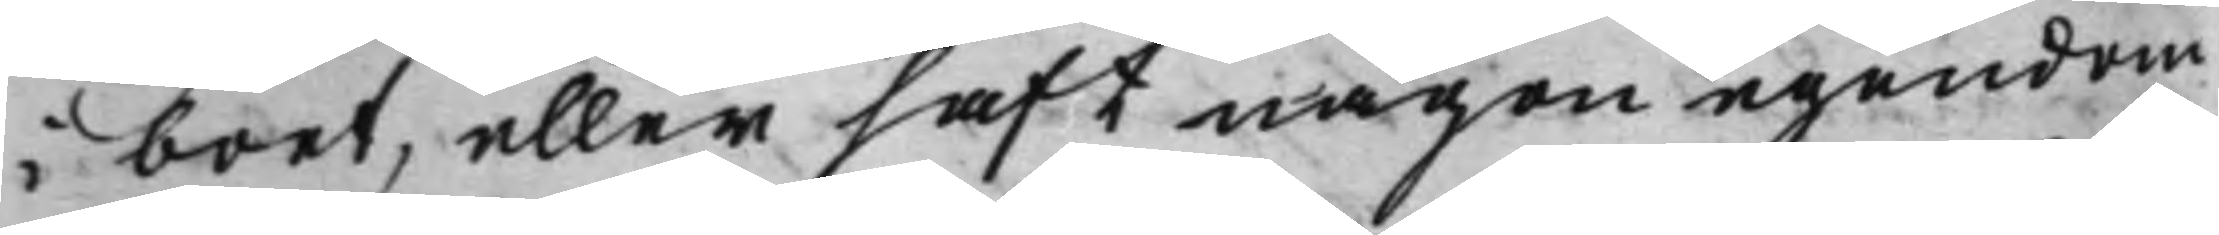i boet, eller haft någon egendom
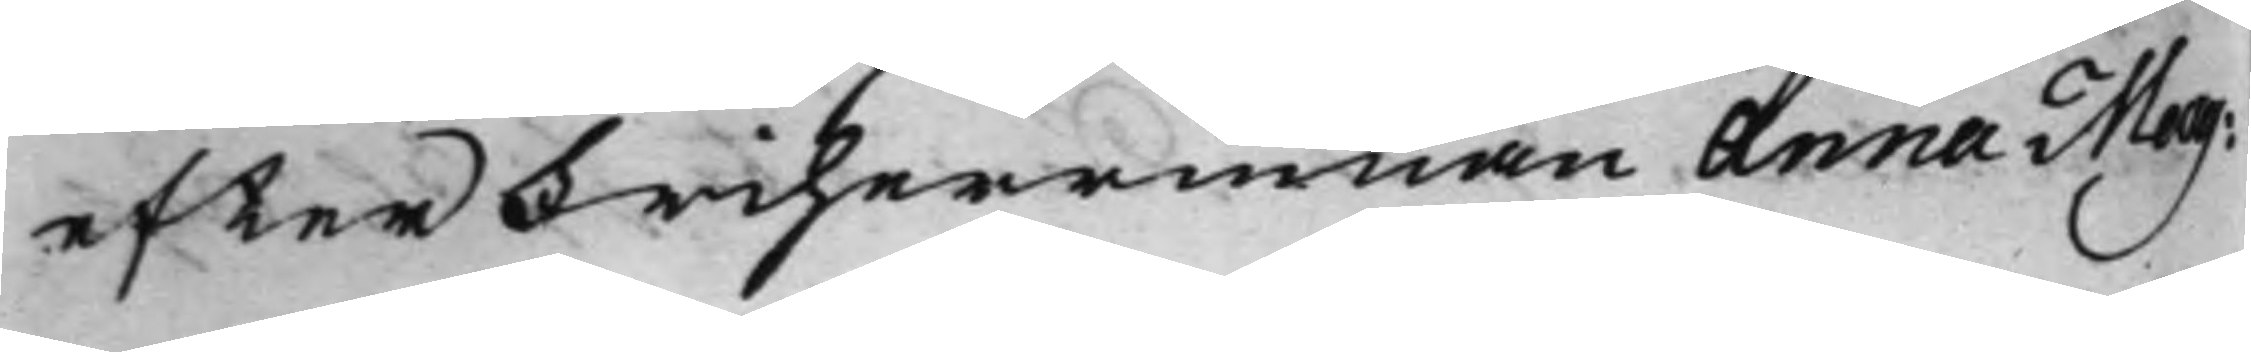efter Friherrinnan Anna Mag:
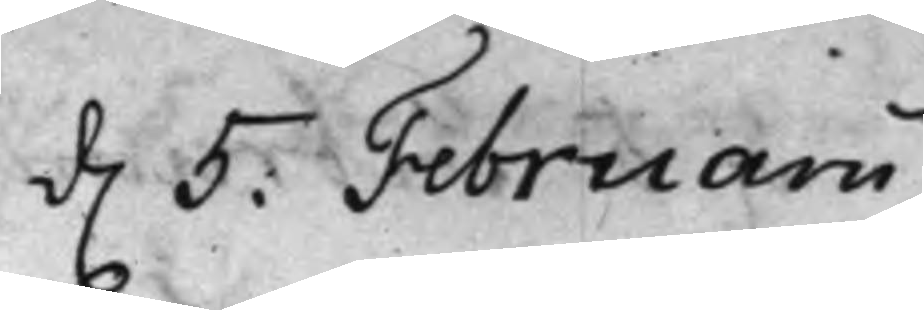d. 5: Februarii
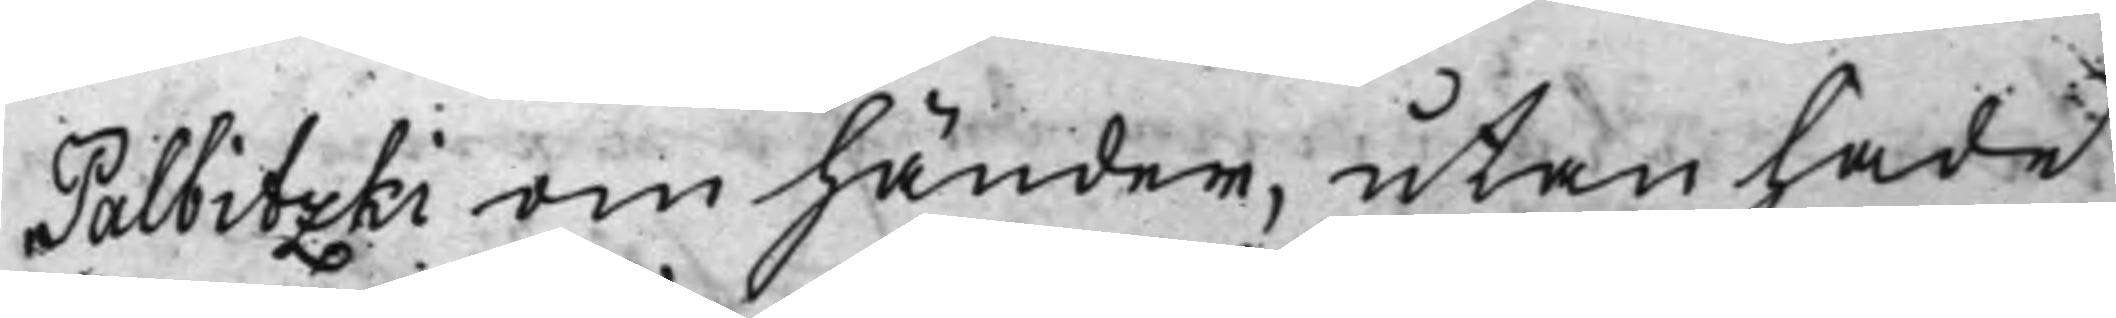Palbitzki om händer, utan hade
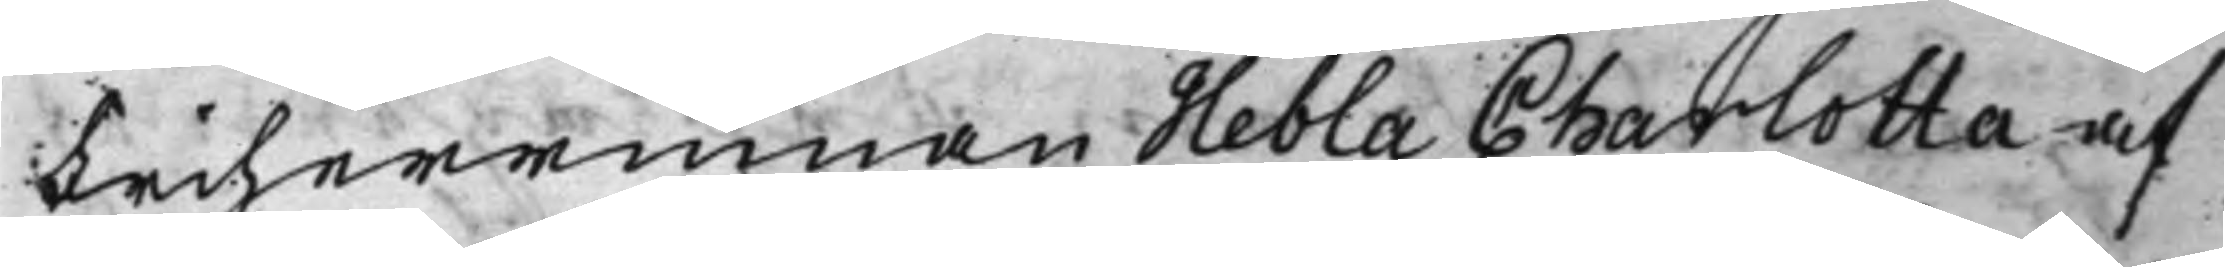Friherrinnan Hebla Charlotta af
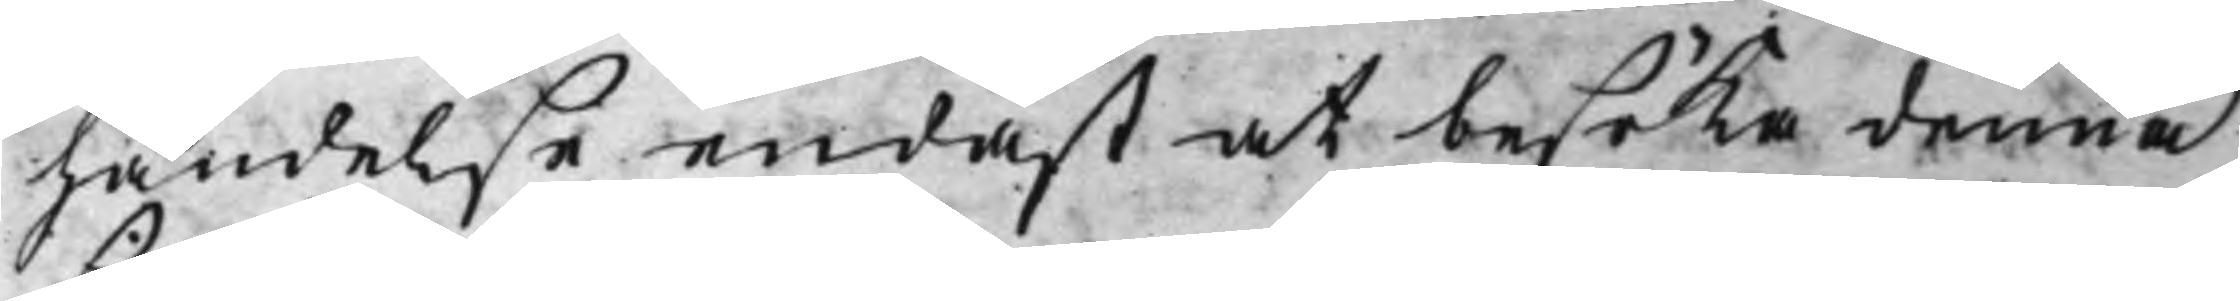händelse endast at besöka denna
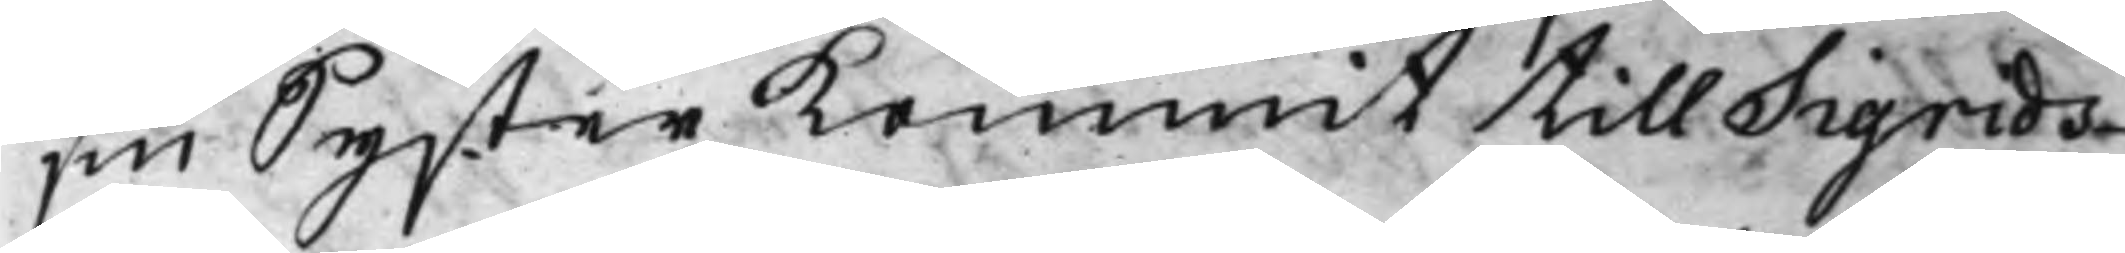sin Syster Kommit till Sigrids¬
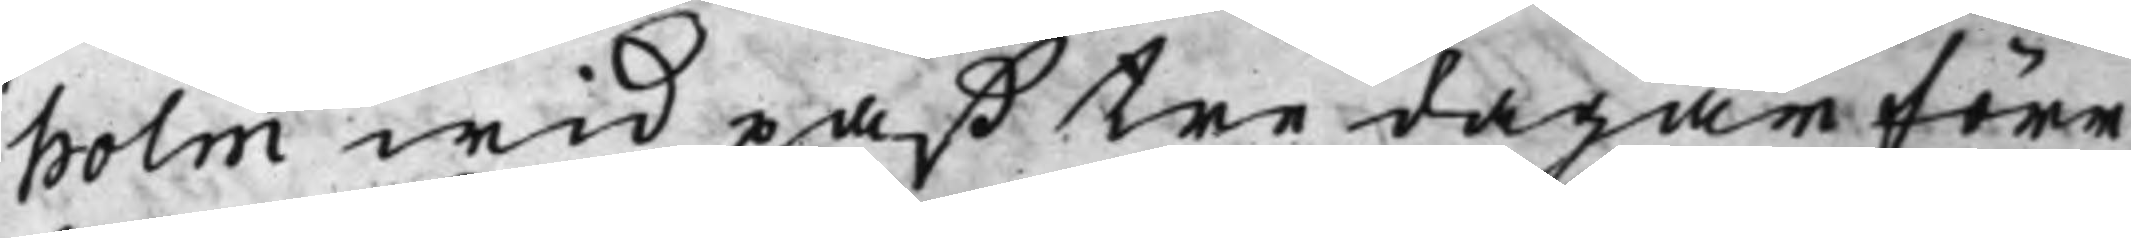holm wid paß tre dagar före
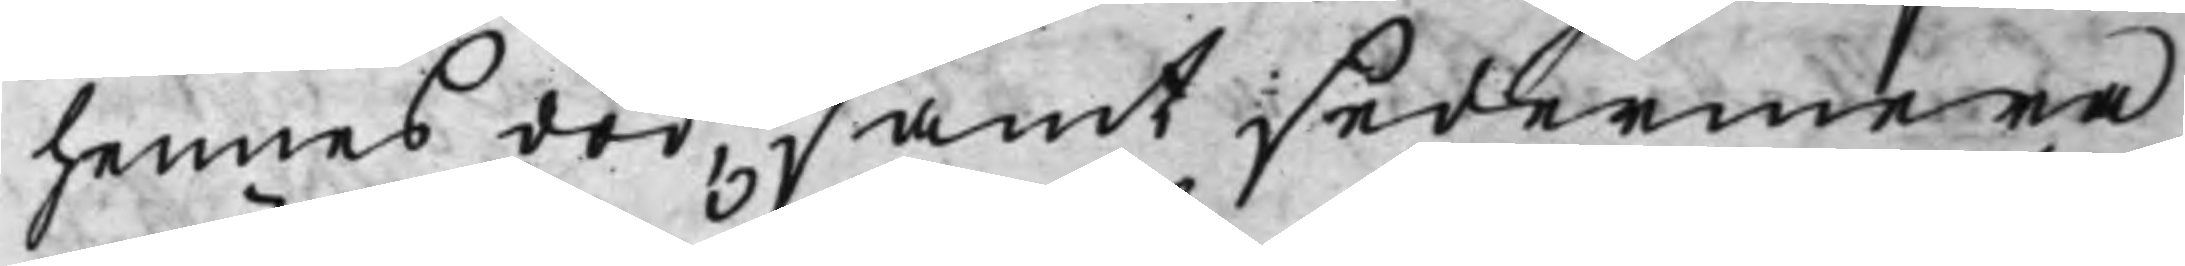hennes död, samt sedermera
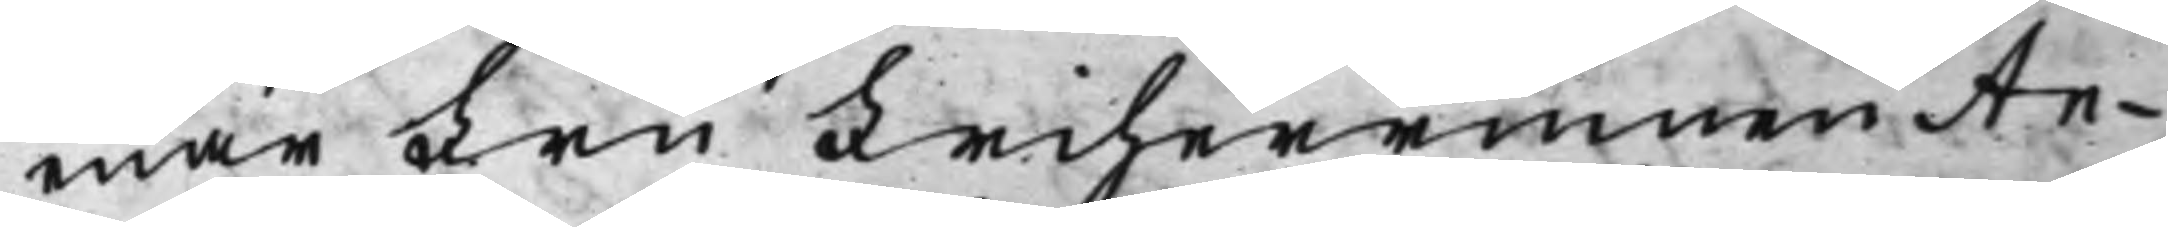enär Fru Friherrinnan An¬
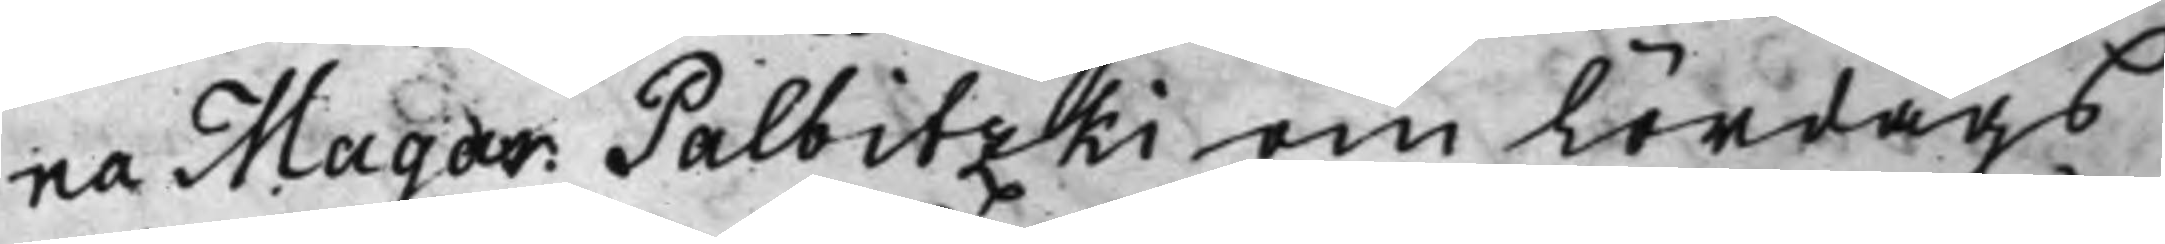na Magar: Palbitzki om Lördags¬
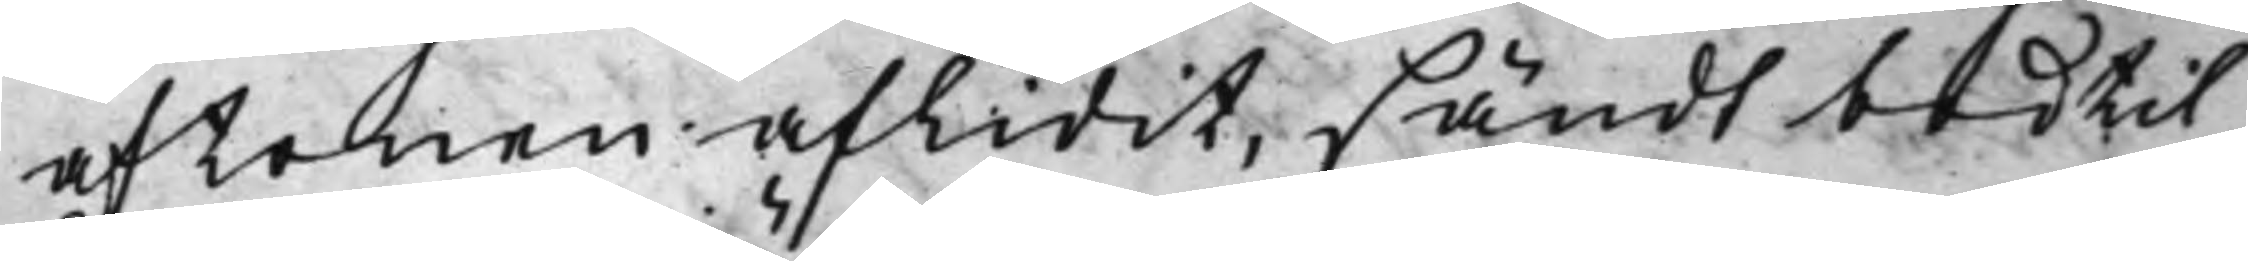aftonen aflidit, sändt bud til
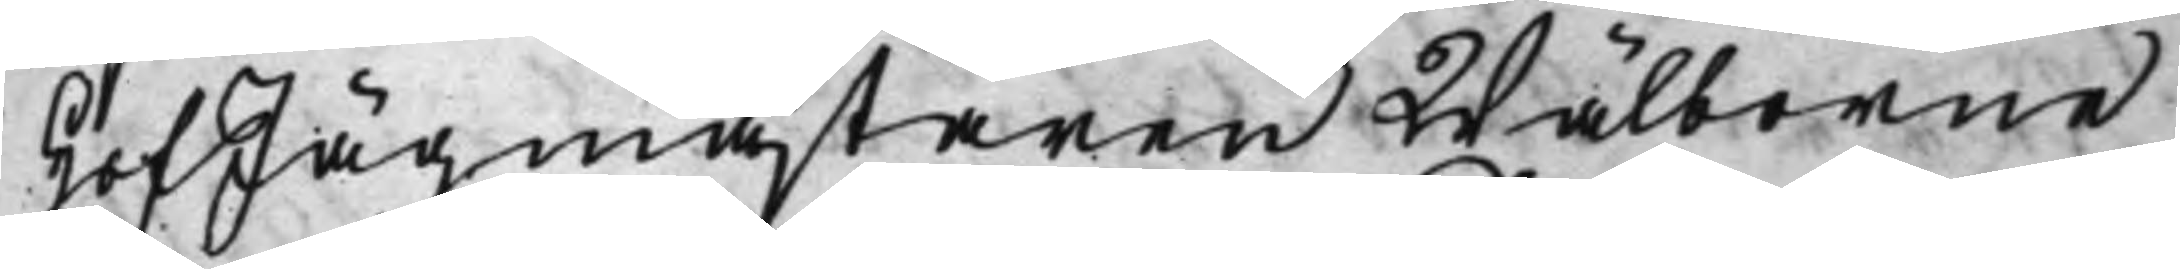HofJägmästaren Wälborne
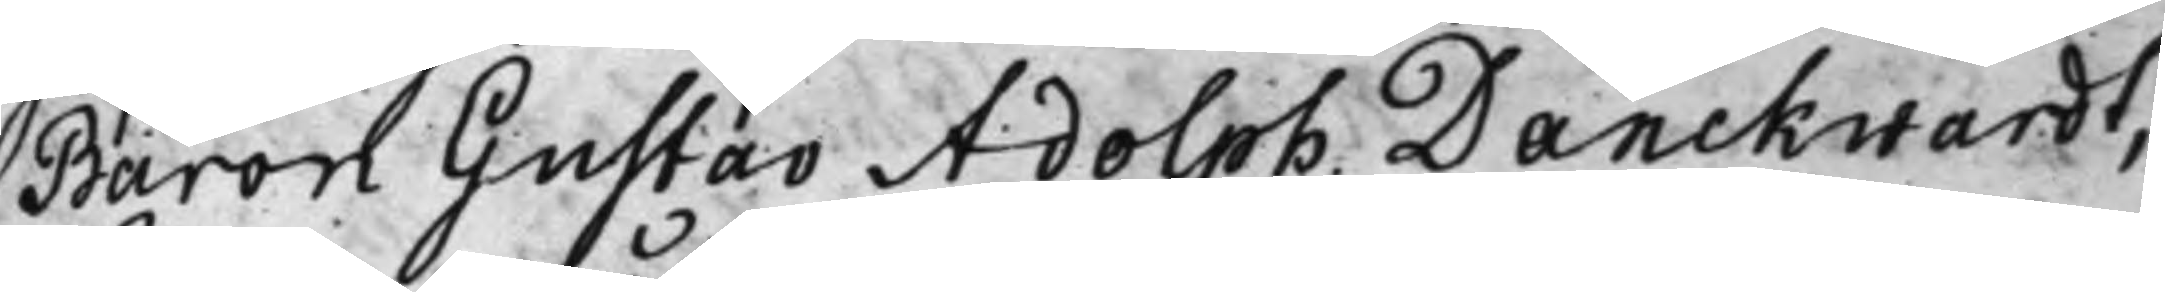Baron Gustav Adolph Danckwardt,
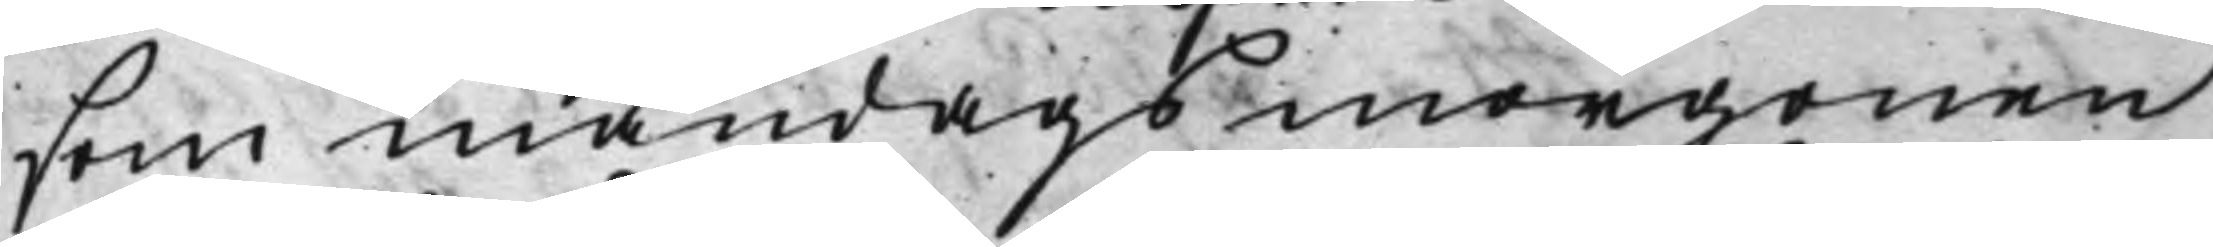som måndagsmorgonen
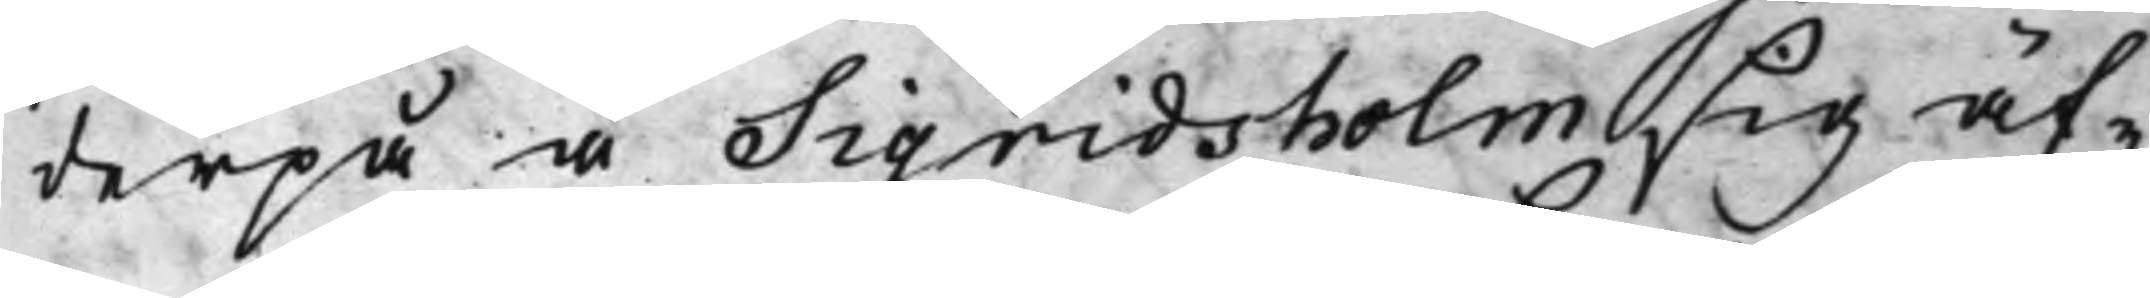derpå å Sigridsholm sig äf¬
